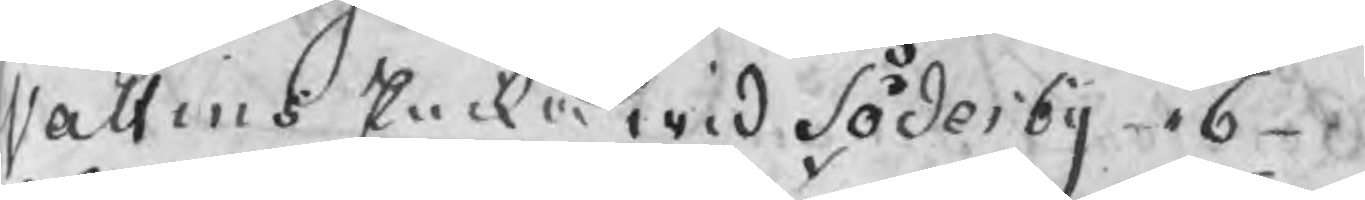Valtins Encka wid Söderby 6
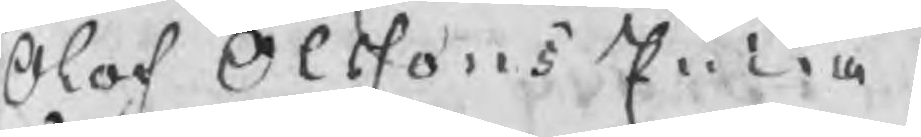Olof Olssons Encka
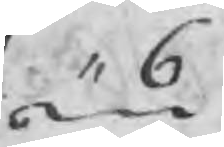,, 6
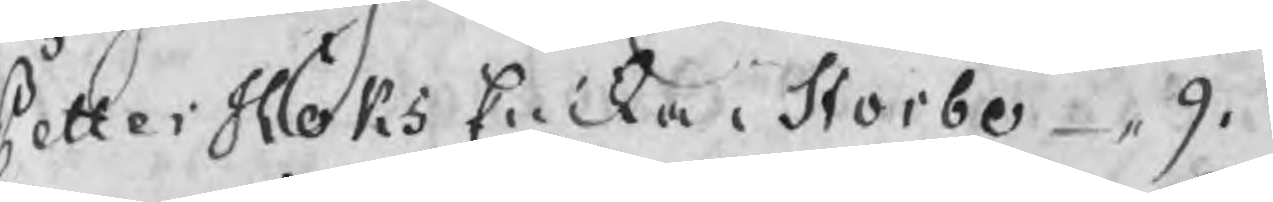Petter Höks Encka i Storbo ,, 9.
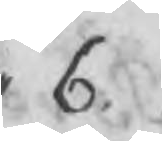,, 6.
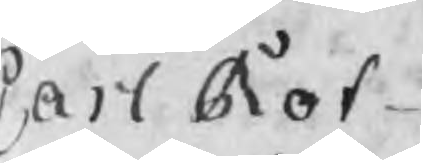Carl Rot
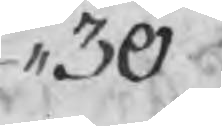,, 30
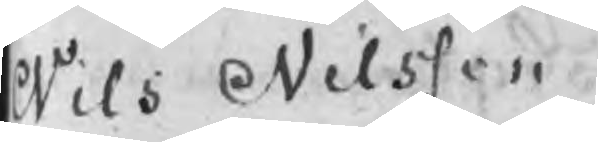Nils Nilsson
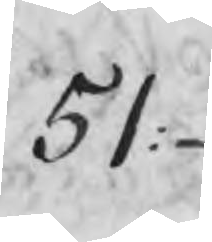51:
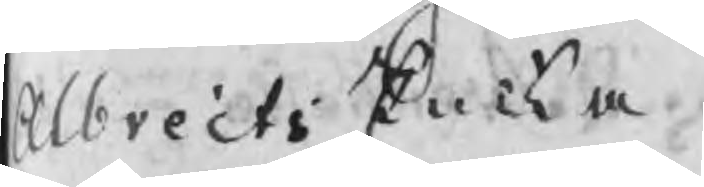Albrects Encka
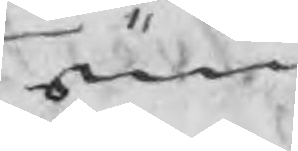,, 6.
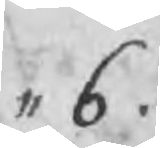,, 6.
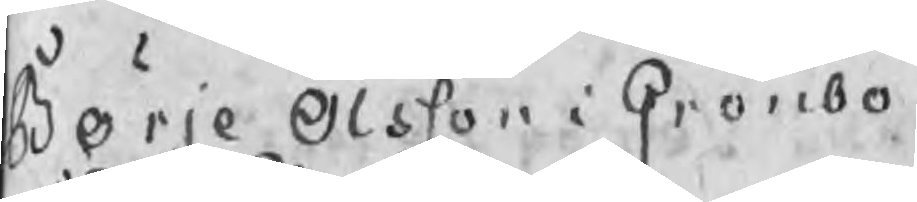Börje Olsson i Grönbo
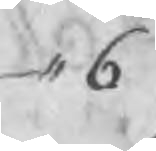,, 6
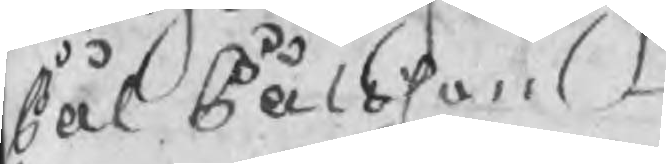Pål Pålsson
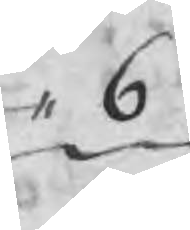,, 6
